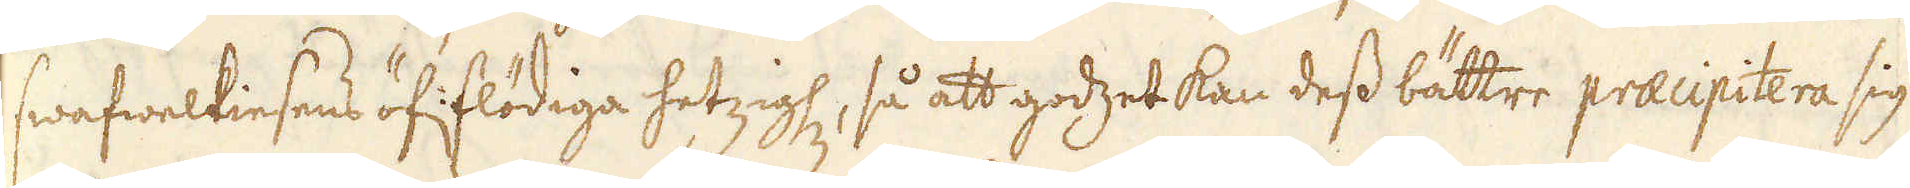swafwelkiesens öf: flödiga hetzighet, så att godzet kan dess bättre praecipitera sig
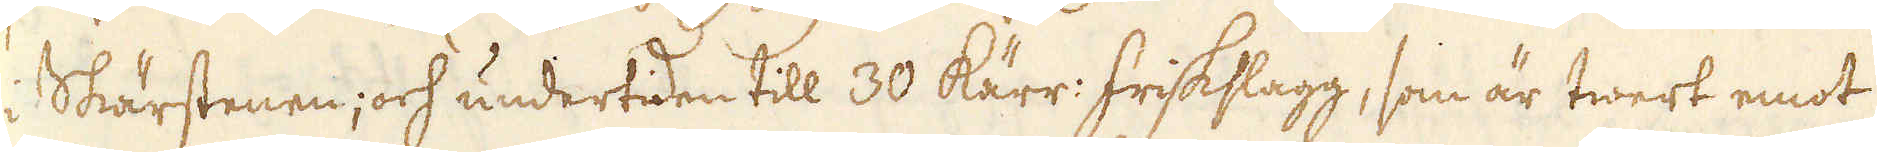i Skärstenen, och undertiden till 30 Kärr: friskslagg, som är twert emot
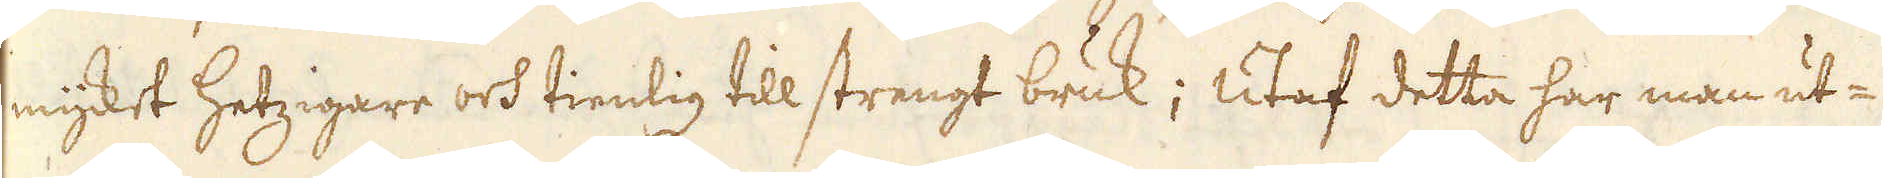mycket hetzigare och tienlig till strengt bruk; Utaf detta har man ut-
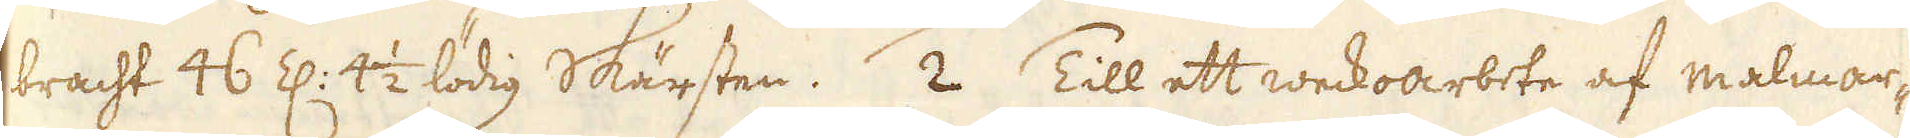bracht 46 Z: 4 1/2 lödig skärsten. 2 Till ett weckoarbete af malmar-
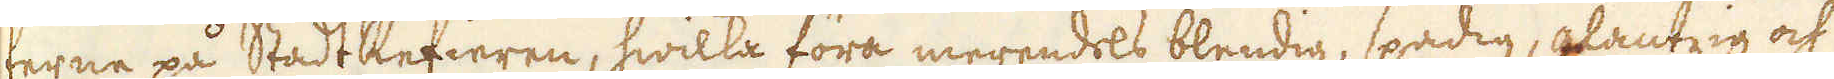terna på StadtRefieren, hwilka föra merendels bendig, spadig, glantzig och
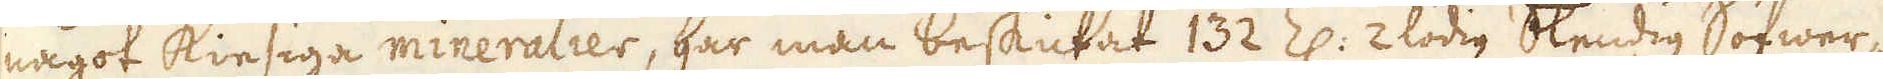något kiesiga mineralier, har man beskickat 132 Z: 2 lödig Blendig Sofwer-
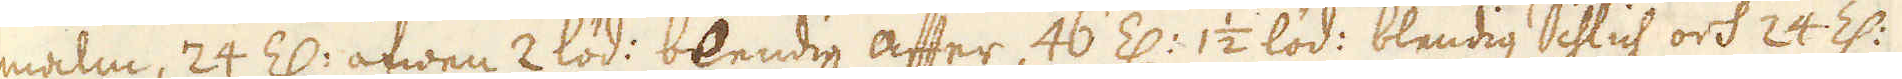malm, 24 Z: äfwen 2 löd: blendig after, 46 Z: 1 1/2 löd: blendig Schlich och 24 Z:
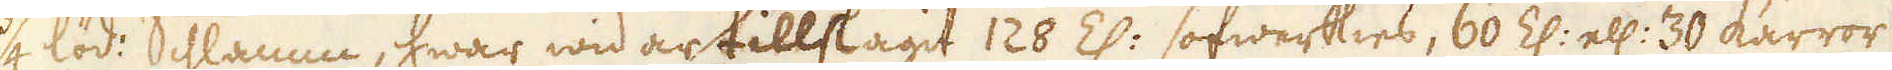3/4 löd: Schamm, hwar wid är tillslagit 128 Z: sofwerkies, 60 Z: ell: 30 kärror
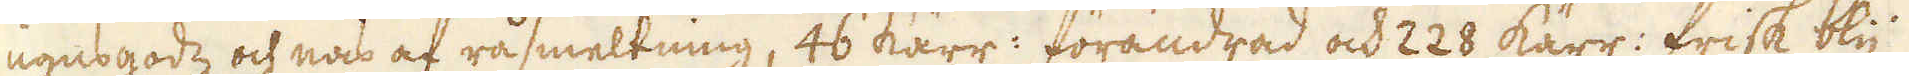ugnsgodz och nas af råsmeltning, 46 kärr: förändrad och 228 kärr: frisk bly
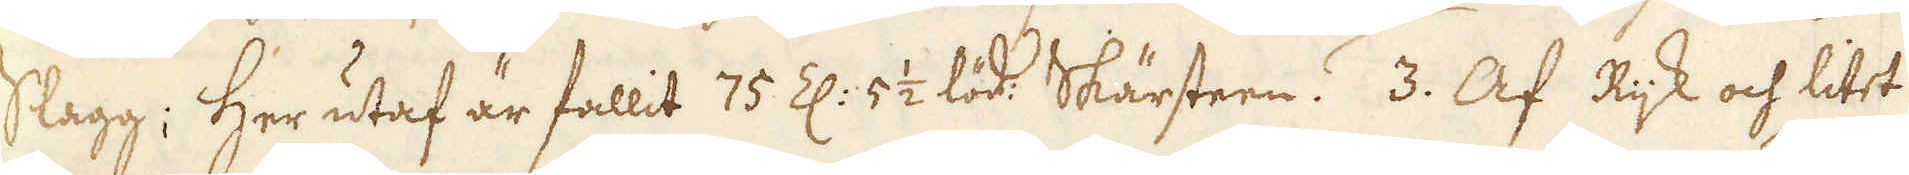Slagg; Her utaf är fallit 75 Z: 5 1/2 lod Skärsteen. 3. Af Rijk och litet
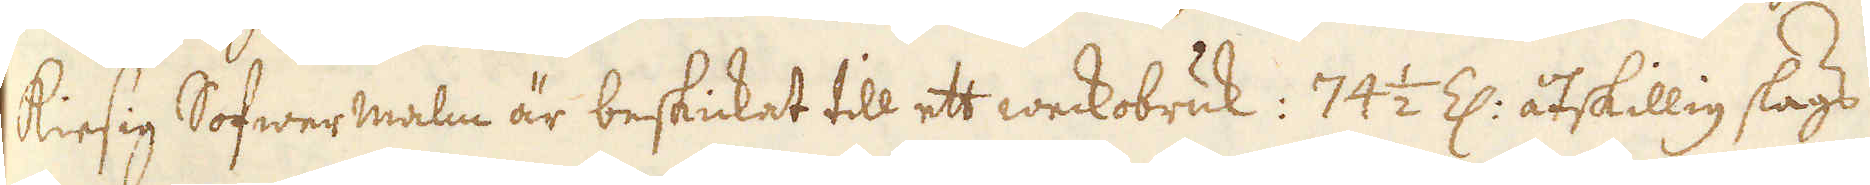kiesig Sofwermalm är beskickat till ett weckobruk: 74 1/2 Z: åtskillig slags
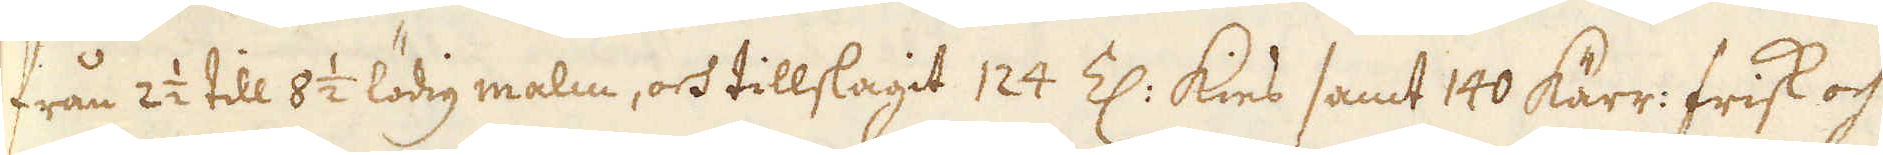från 2 1/2 till 8 1/2 lödig malm, och tillslagit 124 Z: kies samt 140 kärr: frisk och
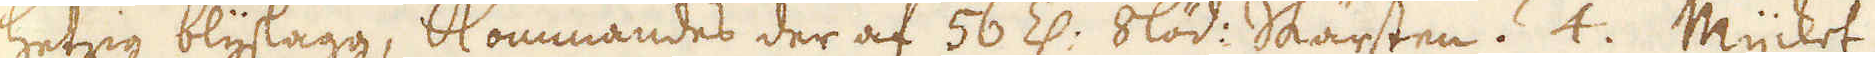hetzig blyslagg, Kommandes der af 56 Z: 8 löd: Skärsten. 4. Mycket
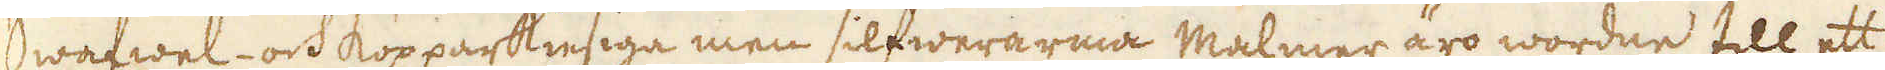Swafwel- och kopparkiesiga men silfwerarma Malmer äro worden till ett
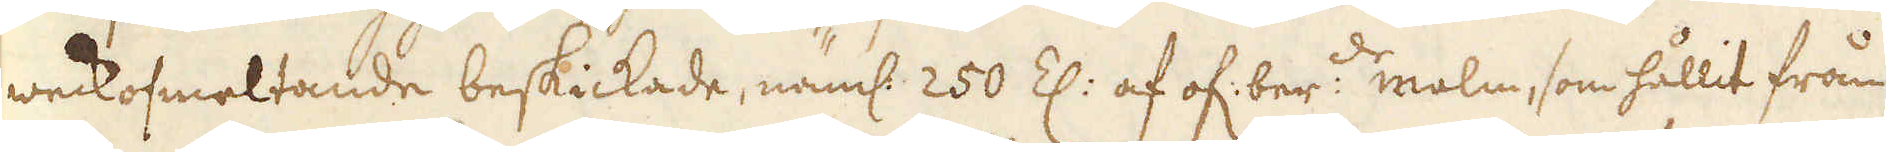weckosmeltande beskickade, näml: 250 Z: af of: ber:de malm, som hållit från
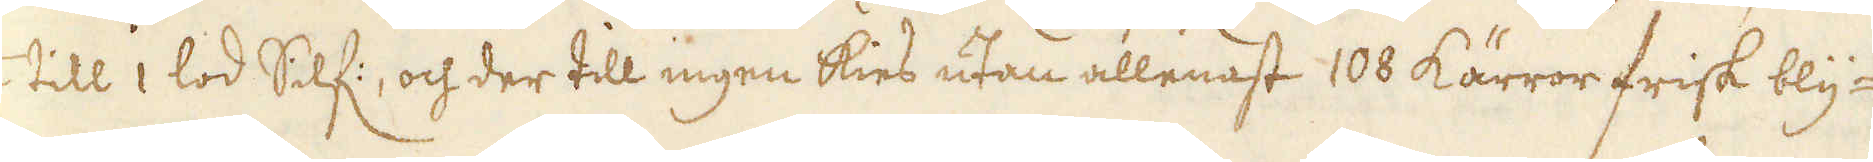1/2 till 1 lod Silf:, och der till ingen kies utan allenast 108 kärror frisk bly-
